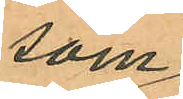som
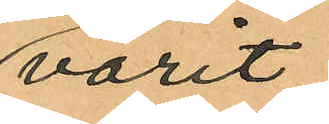varit
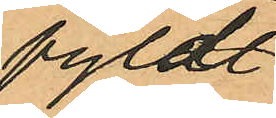fyldt
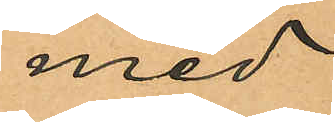med
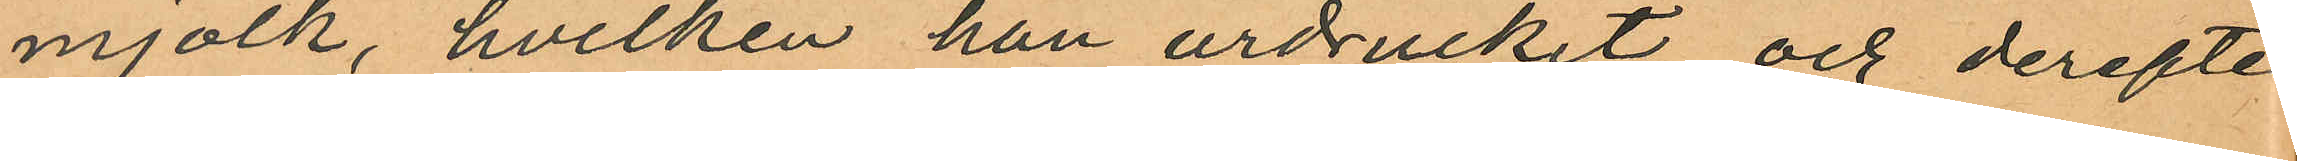mjölk, hvilken han urdruckit och derefter
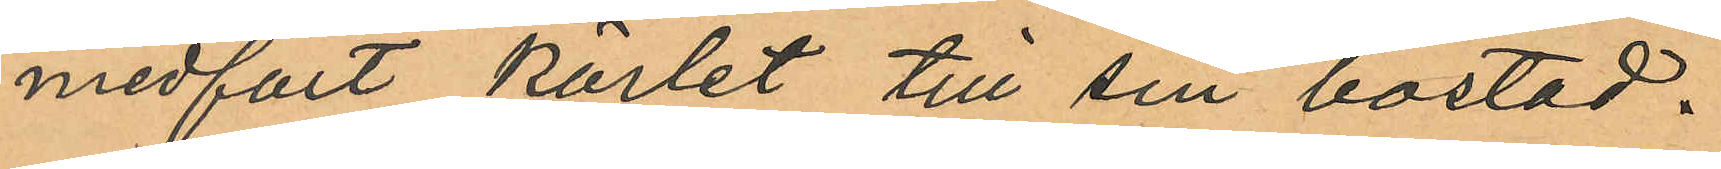medfört kärlet till sin bostad.
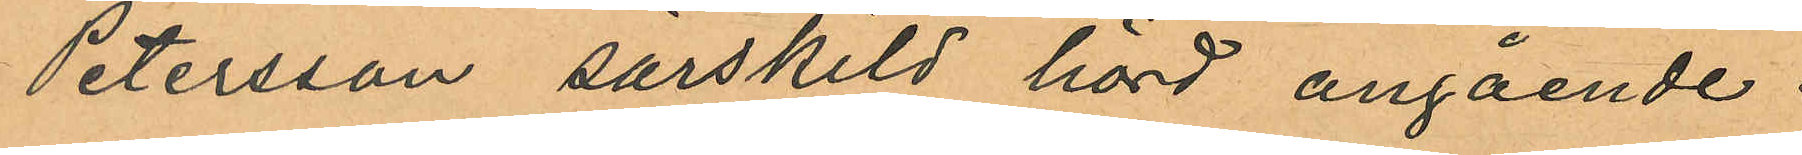Petersson särskild hörd angående
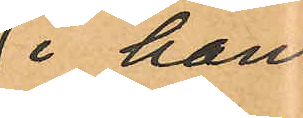i hans
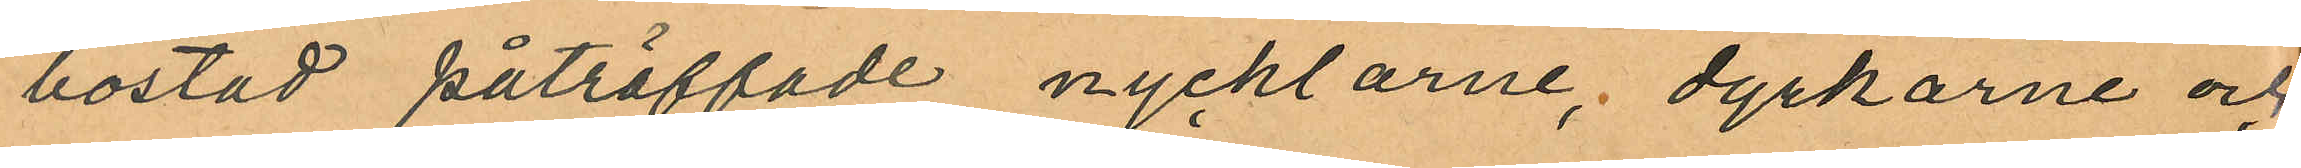bostad påträffade nycklarne, dyrkarne och
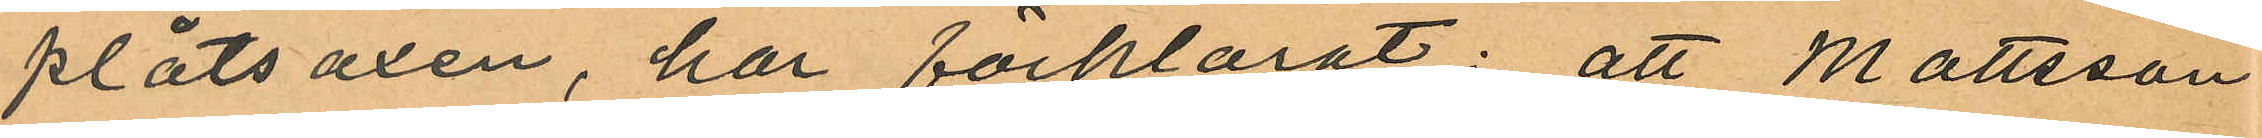plåtsaxen, har förklarat: att Mattsson
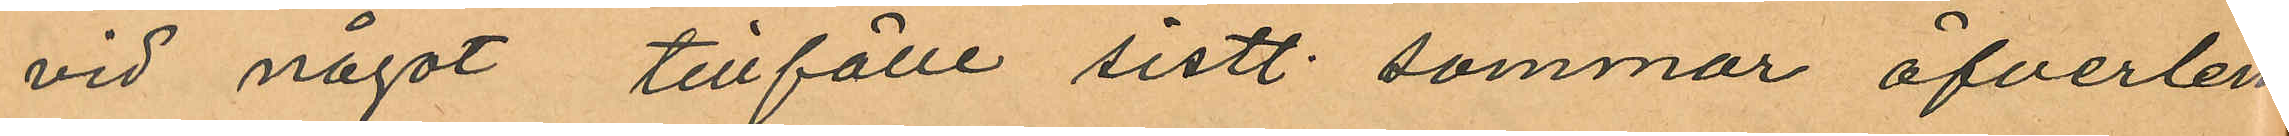vid något tillfälle sistl. sommar öfverlem¬
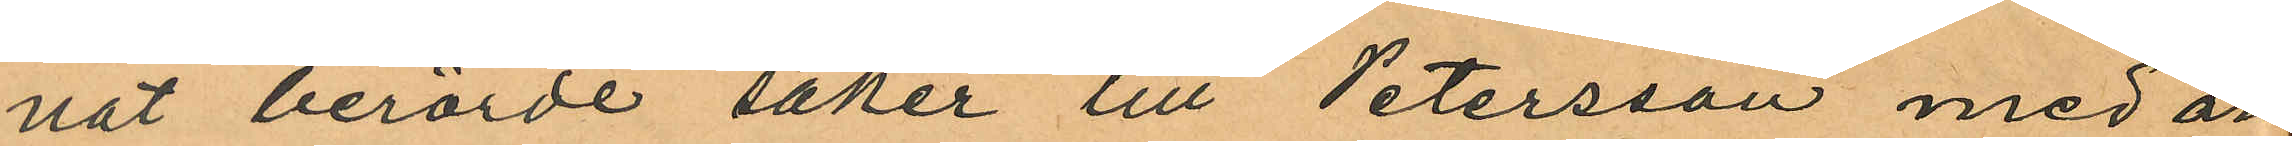nat berörde saker till Petersson med an¬
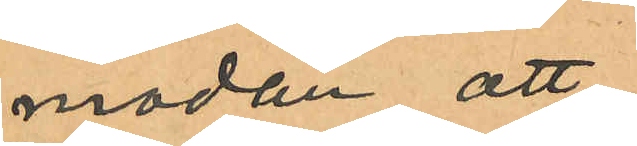modan att
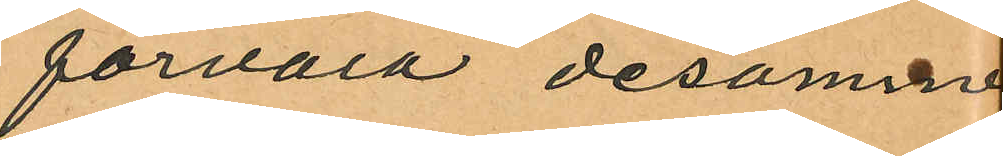förvara desamma
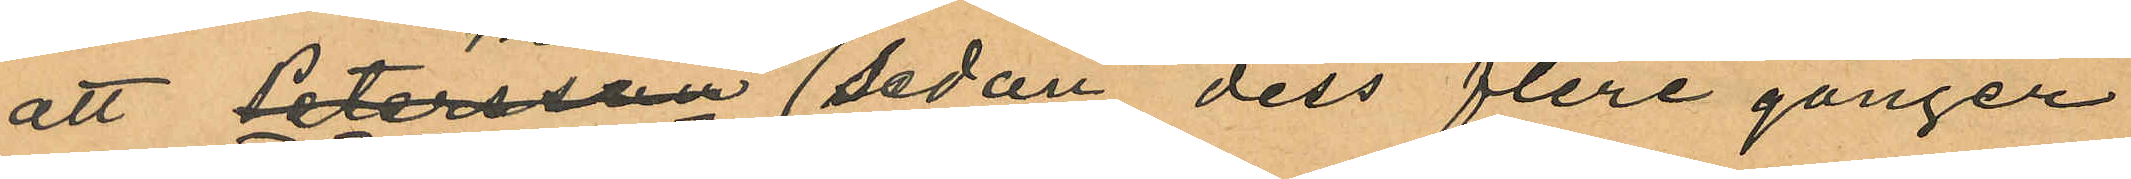att Petersson sedan dess flere gånger
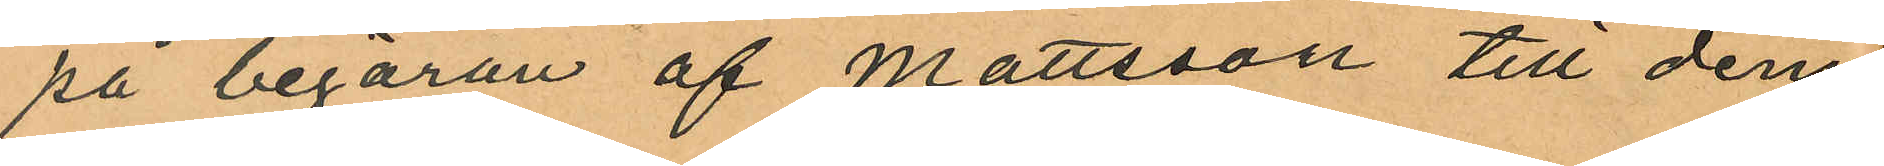på begäran af Mattsson till denne
